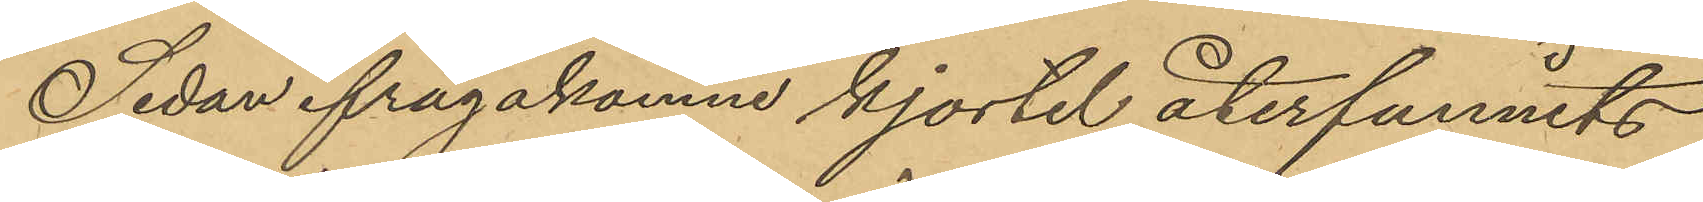Sedan ifrågakomne kjortel återfunnits
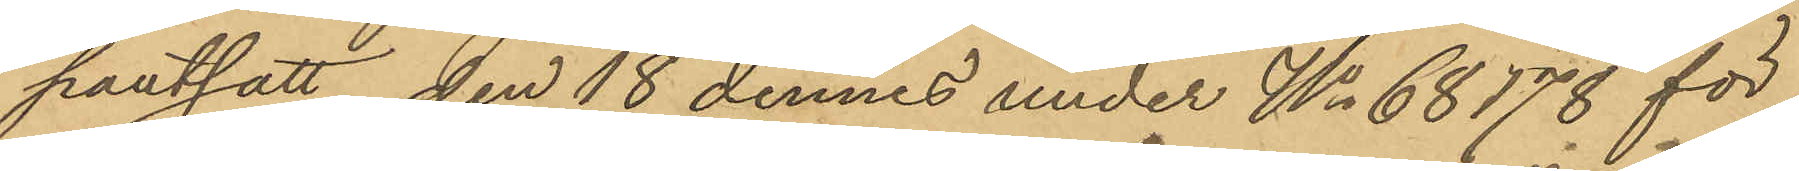pantsatt den 18 dennes under No 68178 för
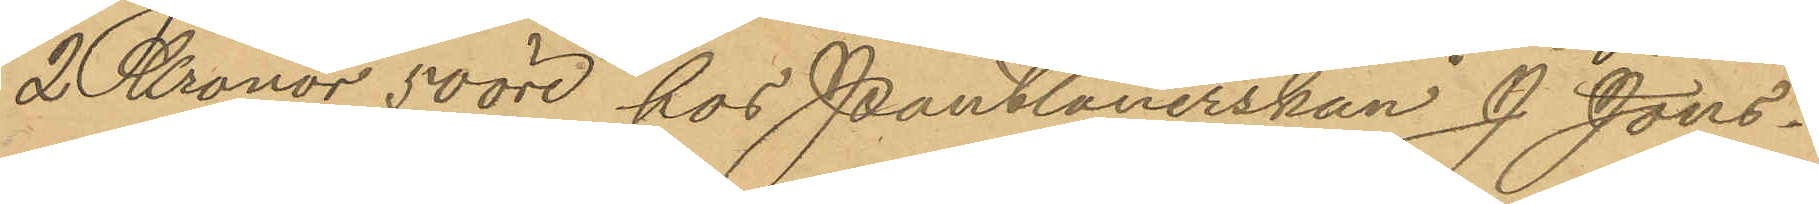2 Kronor 50 öre hos Pantlånerskan J. Jöns¬
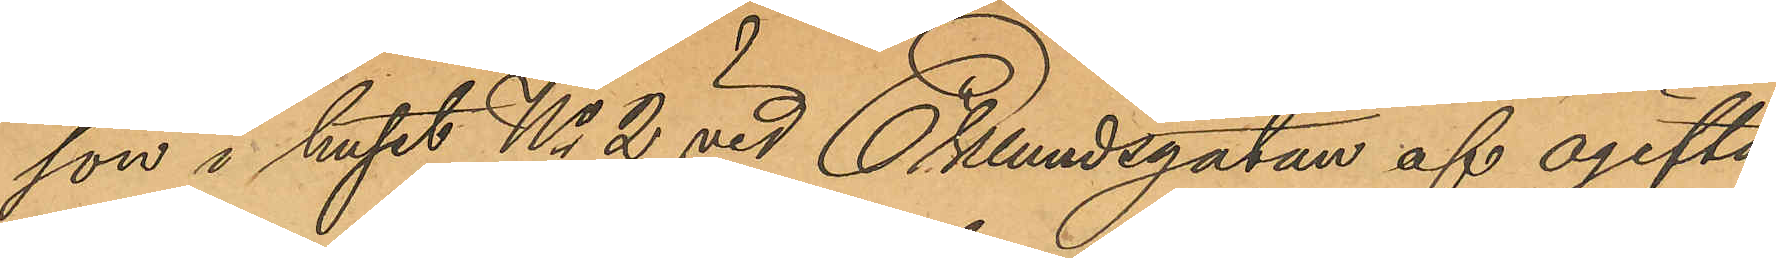son i huset No 2 vid Eklundsgatan af ogifta
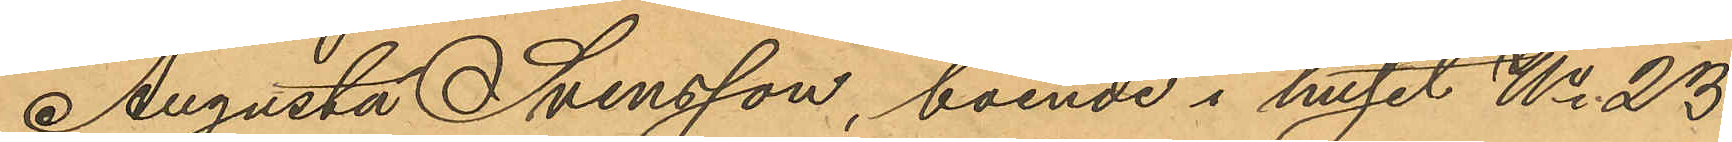Augusta Svensson, boende i huset No 23
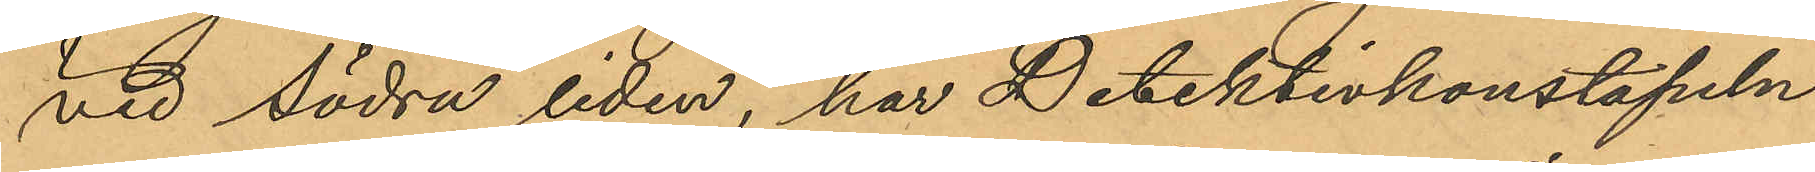vid Södra liden, har Detektivkonstapeln
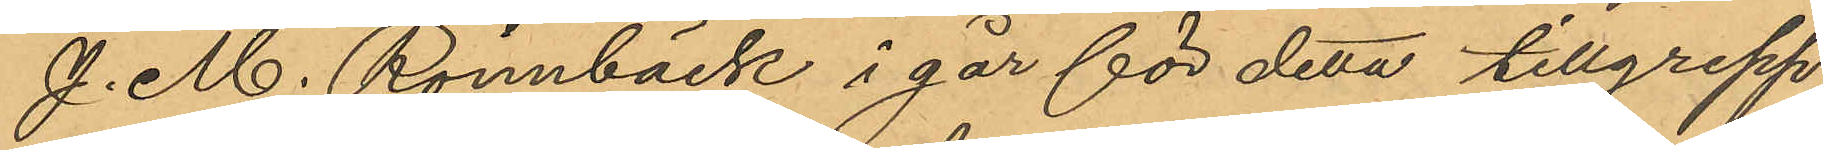J. M. Rönnbäck i går för detta tillgrepp
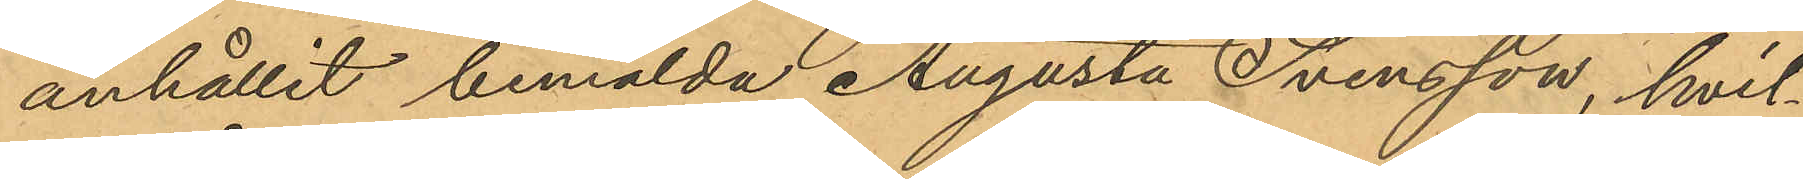anhållit bemälda Augusta Svensson, hvil¬
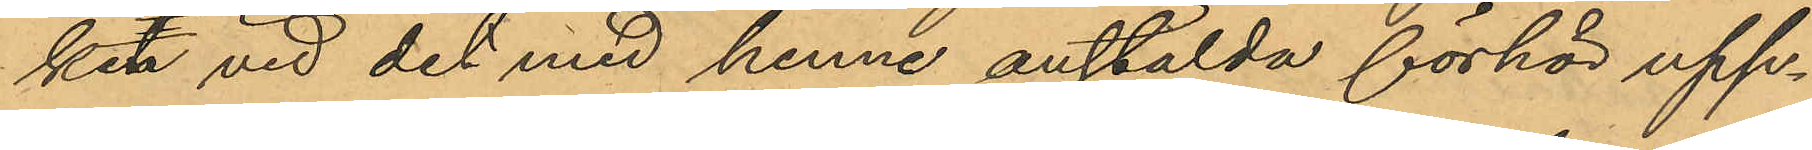ken vid det med henne anstälda förhör upp¬
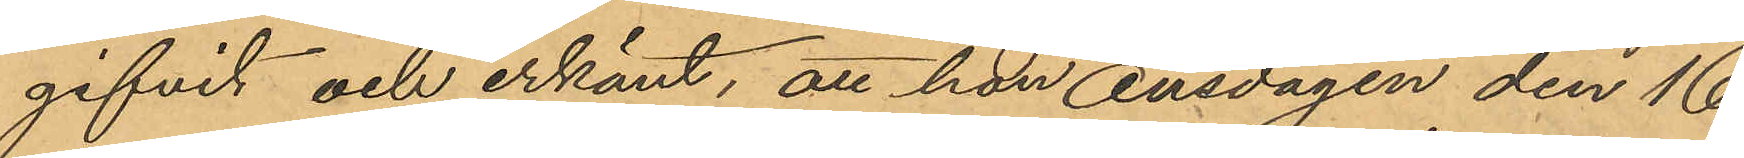gifvit och erkänt, att hon onsdagen den 16
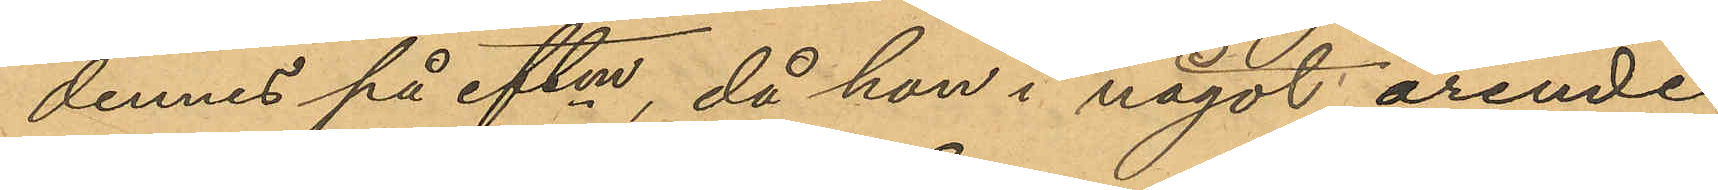dennes på eftm, då hon i något ärende
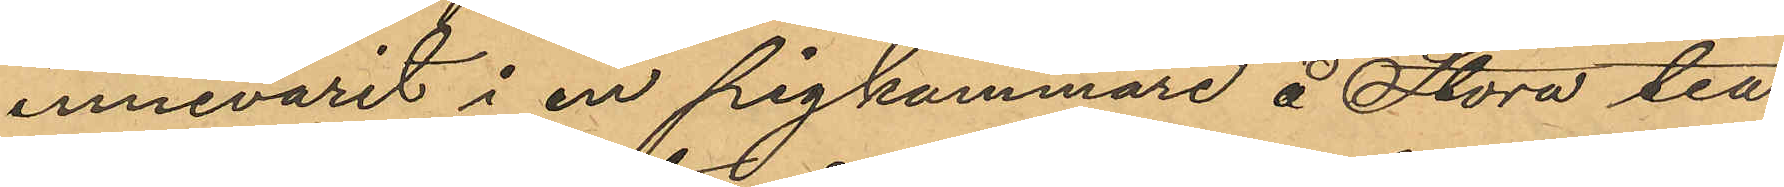innevarit i en pigkammare å Stora Tea¬
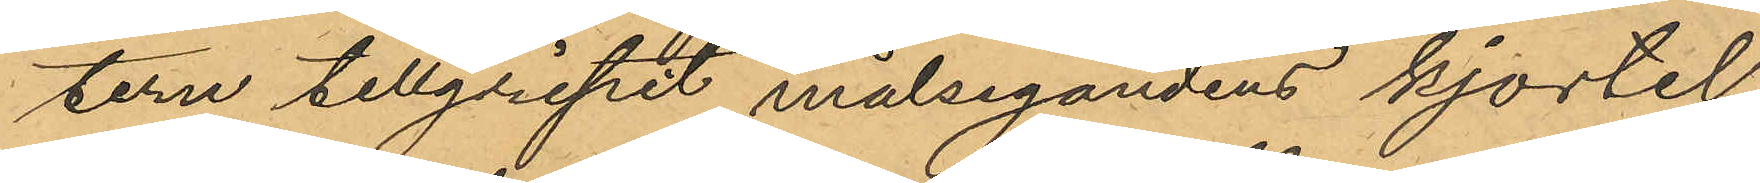tern tillgripit målsegandens kjortel,
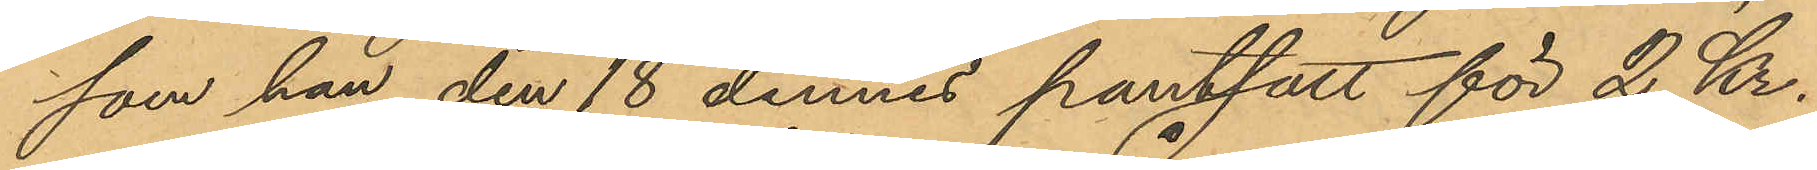som han den 18 dennes pantsatt för 2 Kr.
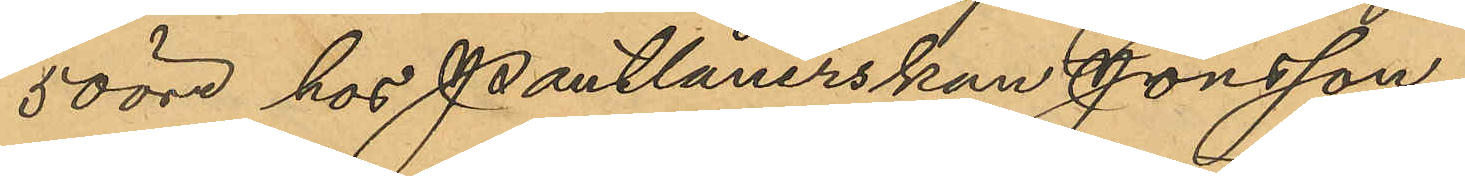50 öre hos Pantlånerskan Jonsson
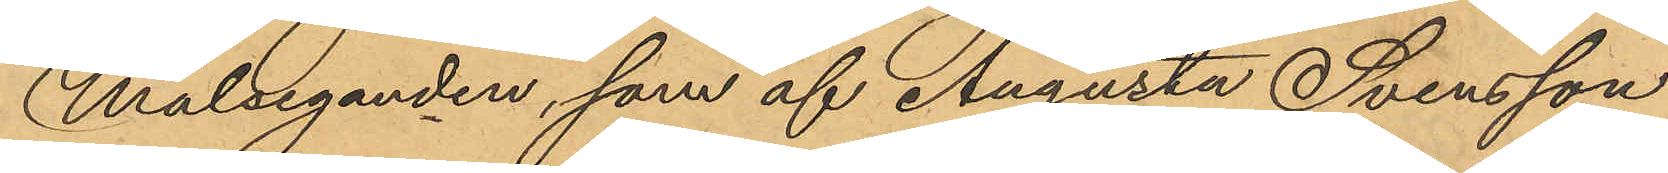Målseganden, som af Augusta Svensson
